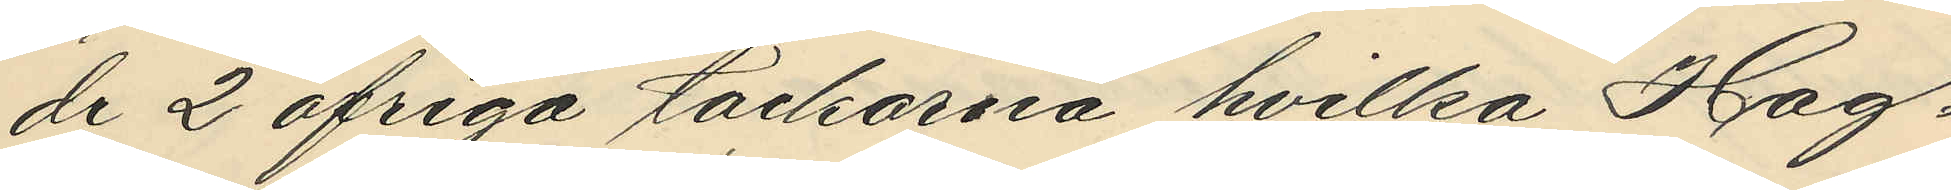de 2 öfriga tackorna hvilka Hag¬
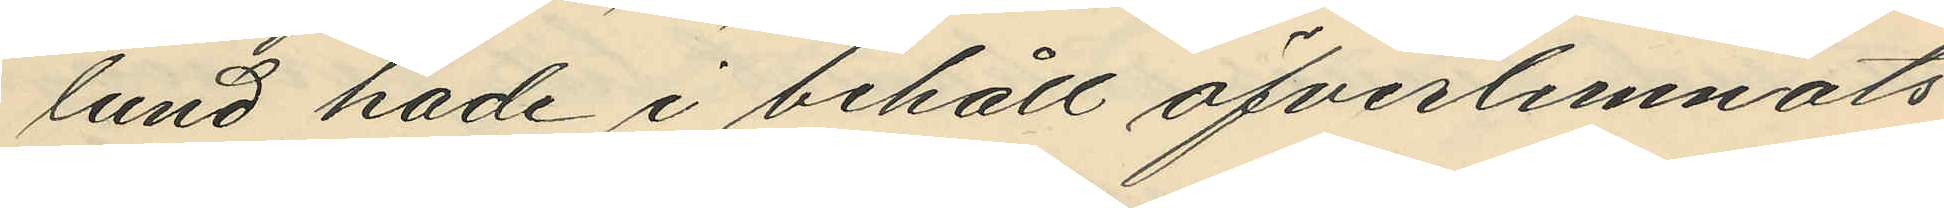lund hade i behåll öfverlemnats
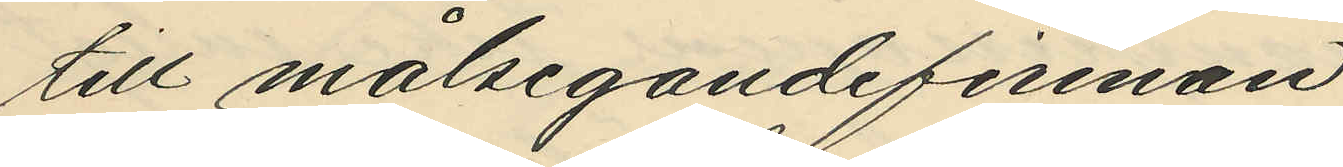till målsegandefirman.
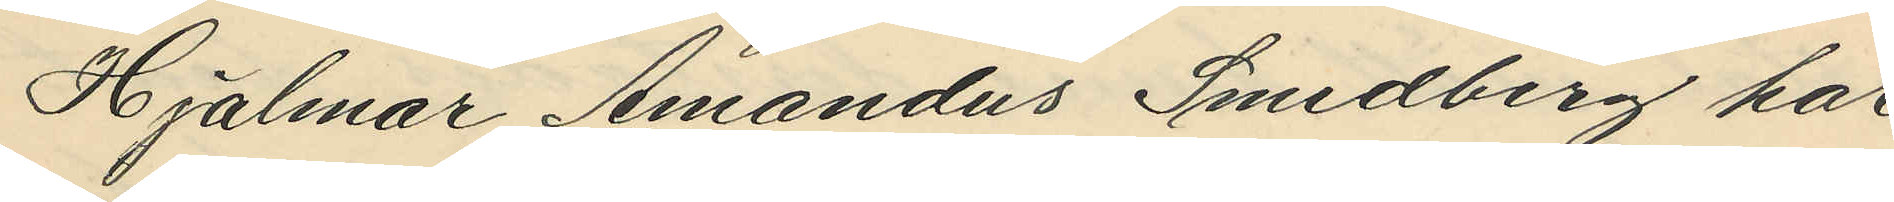Hjalmar Amandus Smedberg har
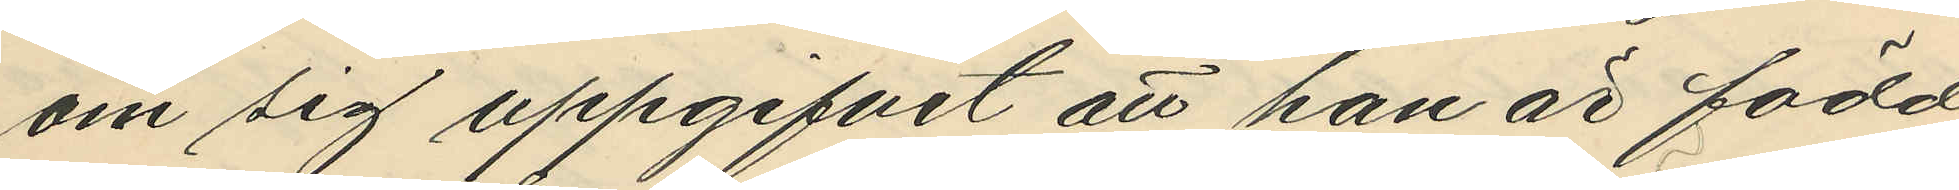om sig uppgifvit att han är född
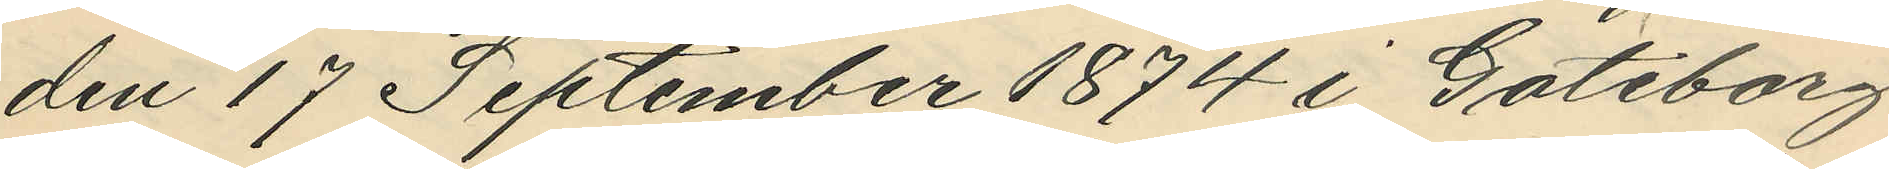den 17 September 1874 i Göteborg
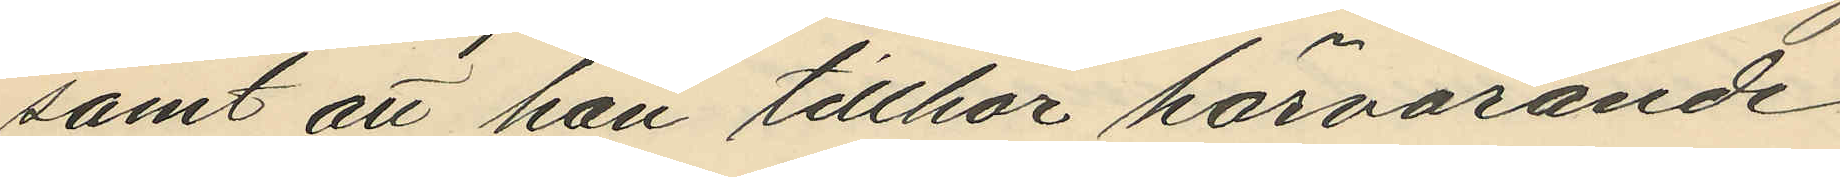samt att han tillhör härvarande
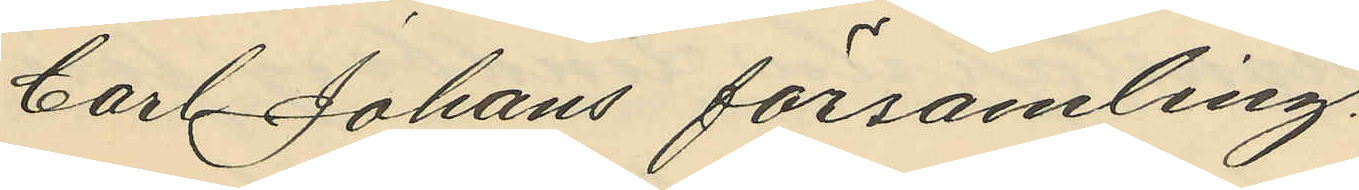Carl Johans församling.
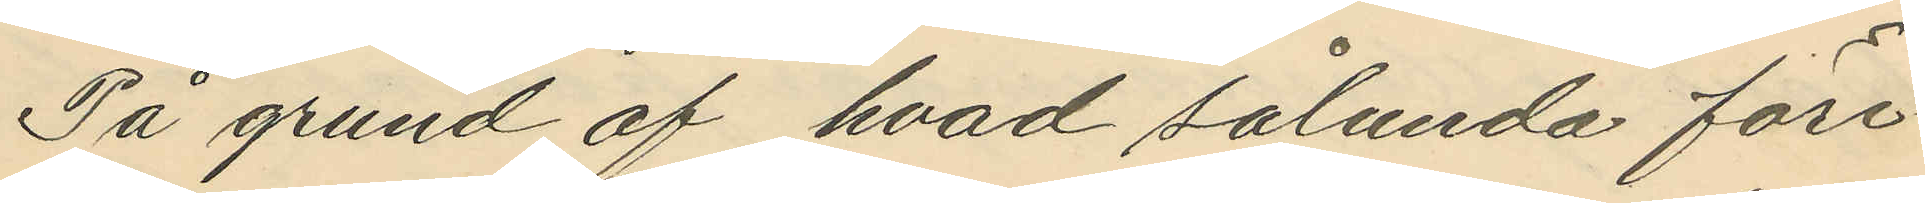På grund af hvad sålunda före¬
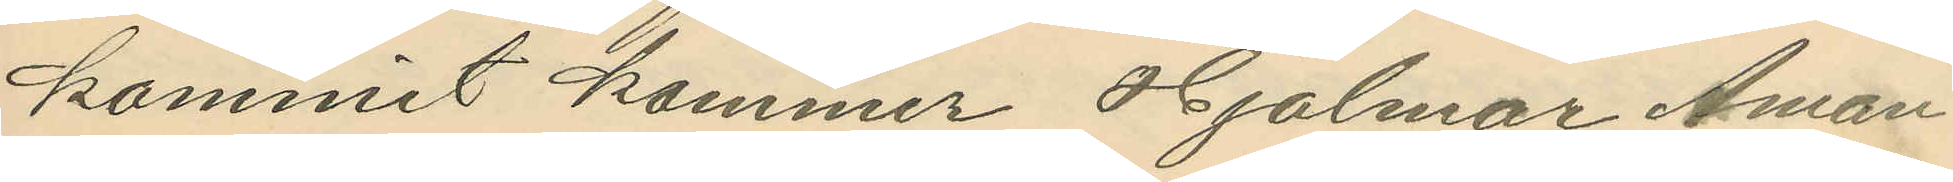kommit kommer Hjalmar Aman¬
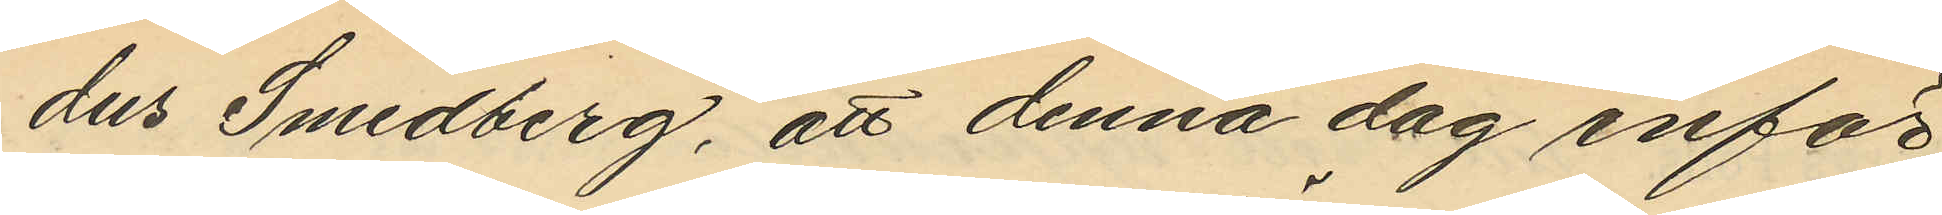dus Smedberg, att denna dag inför
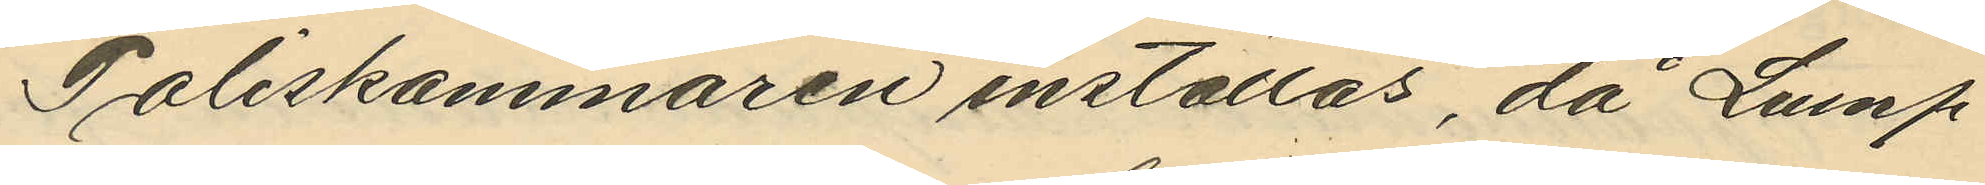Poliskammaren inställas, då Lump¬
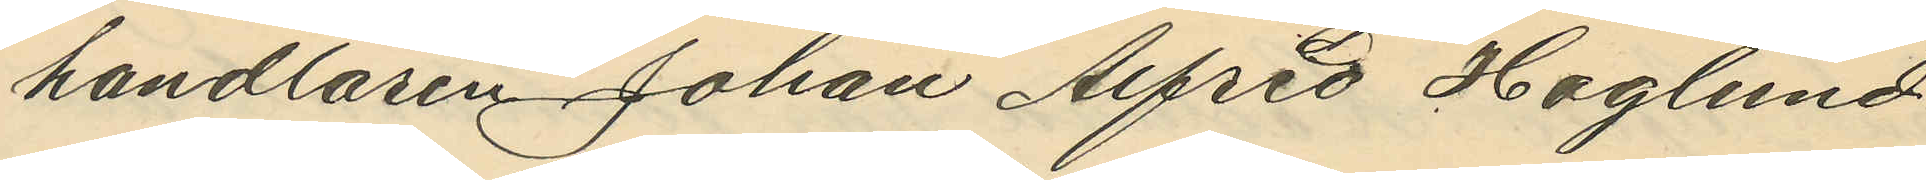handlaren Johan Alfred Haglund
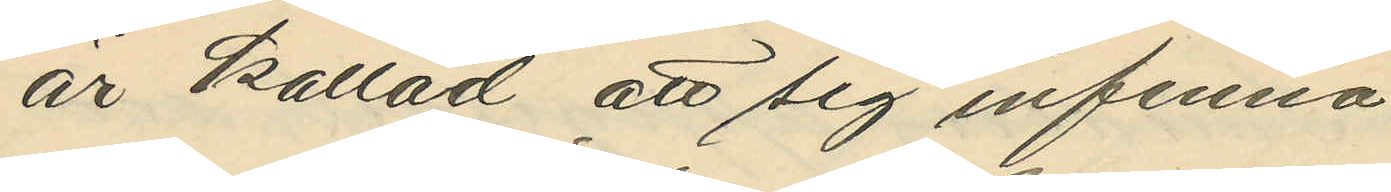är kallad att sig infinna.
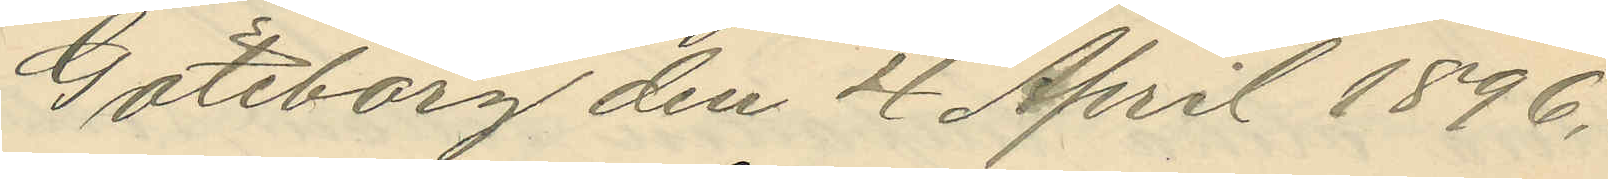Göteborg den 4 April 1896.
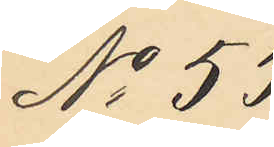No 55
